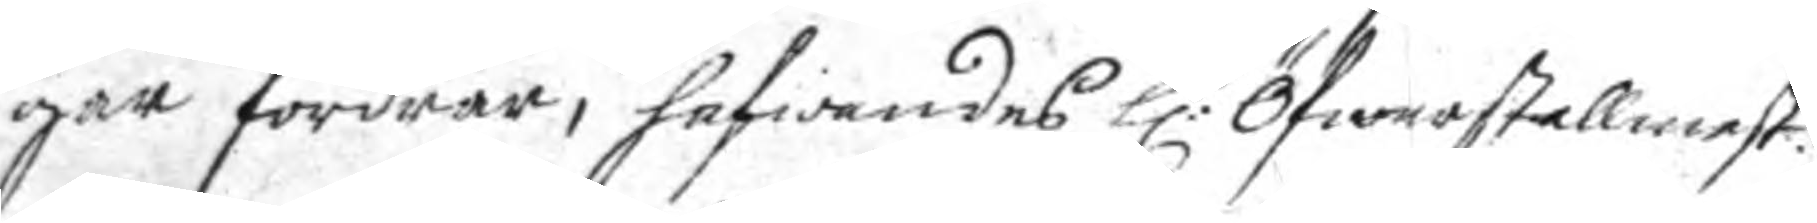gar fordrar, hafwandes h:r Öfwerstallmest:n
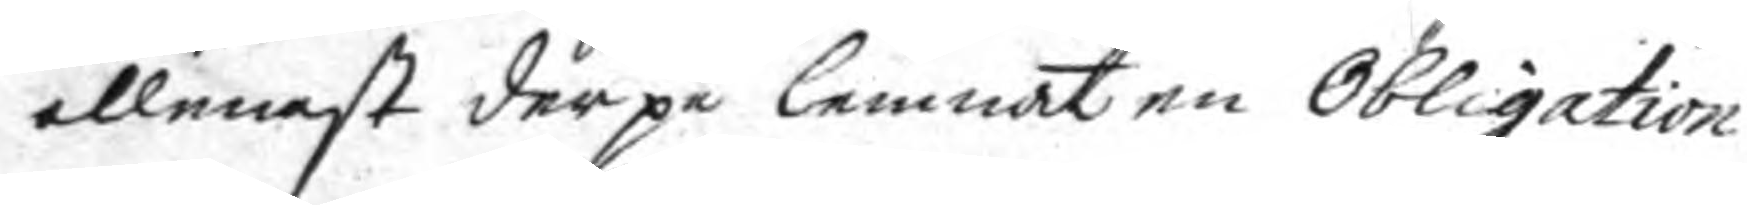allenast der på lemnat en Obligation
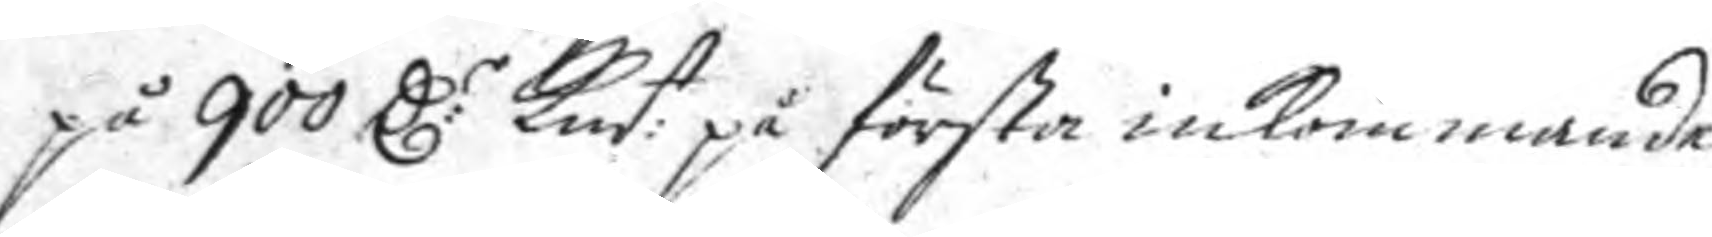på 900 C:r Km:t på första inkommande
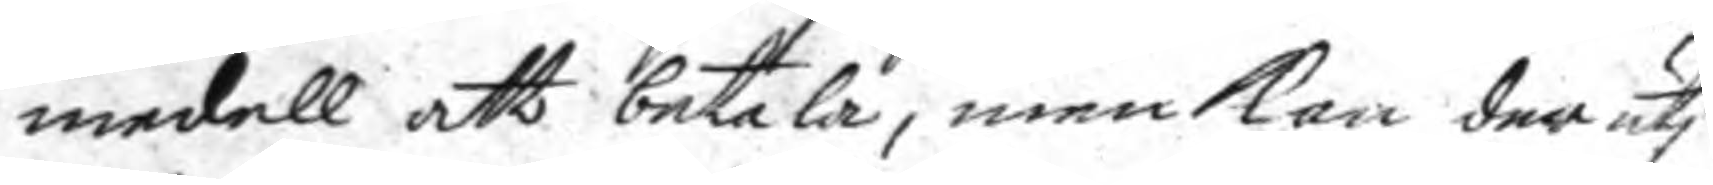medell att betala, men kan der uti
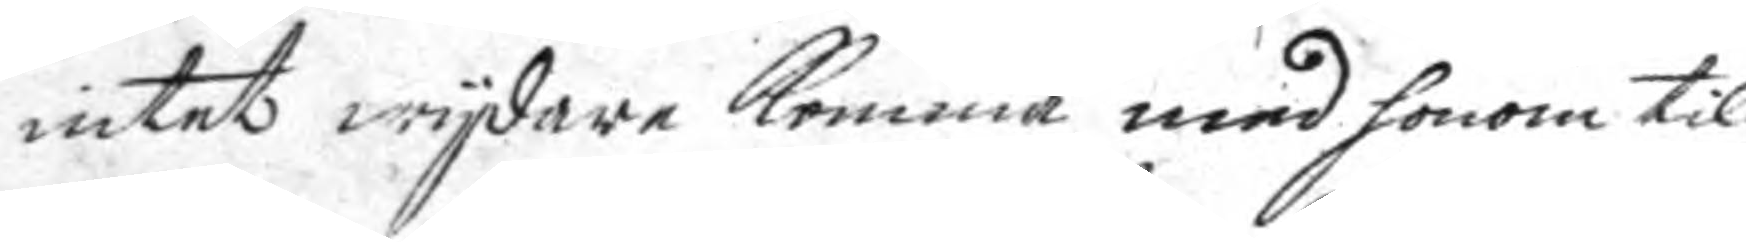intet wydare komma med honom til
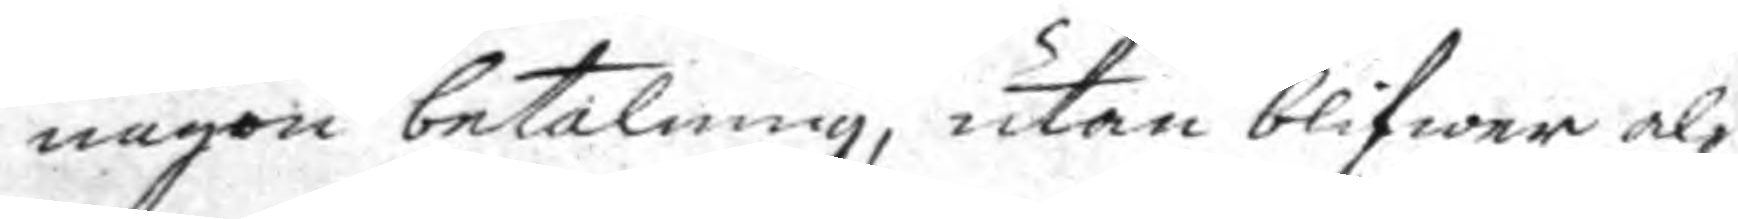någon betalning, utan blifwer al¬
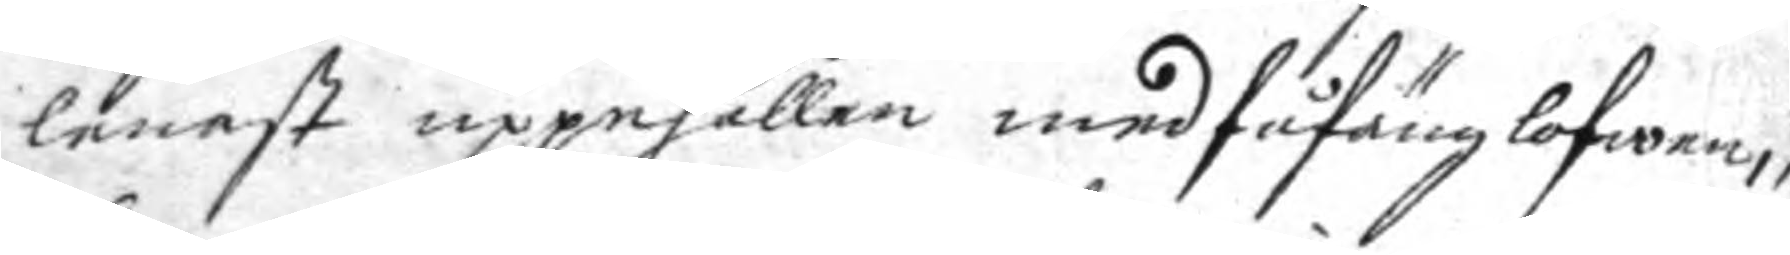lenast uppehållen med fåfäng lofwen,
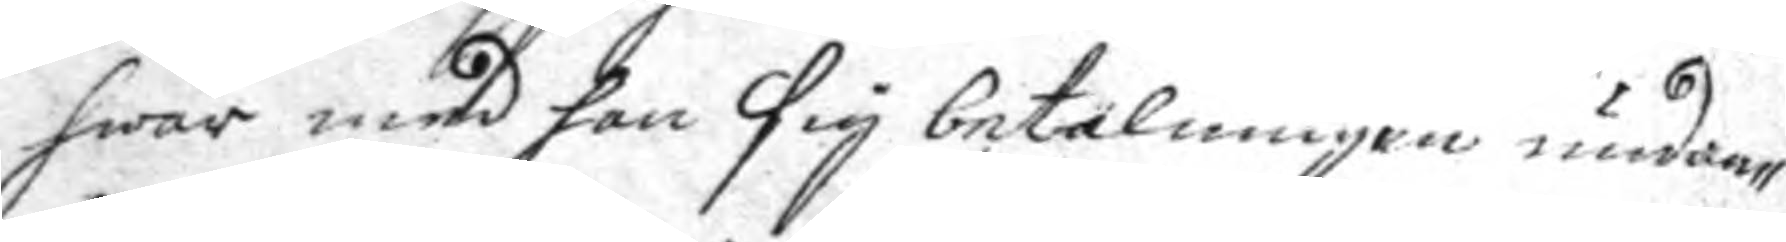hwar med han sig betalningen undan¬
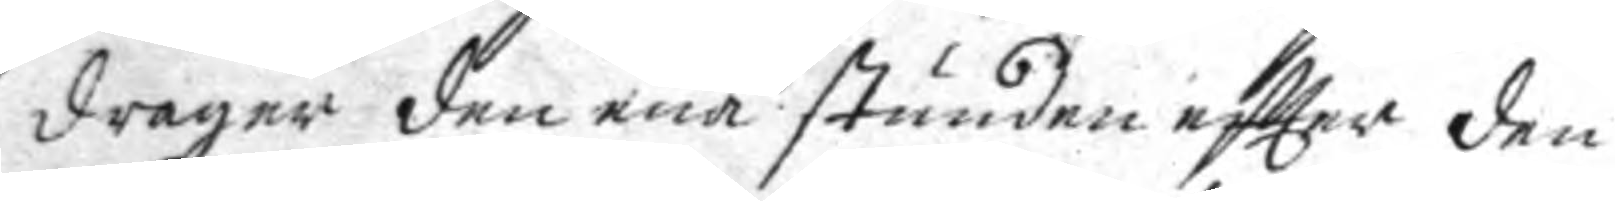drager den ena stunden eftter den
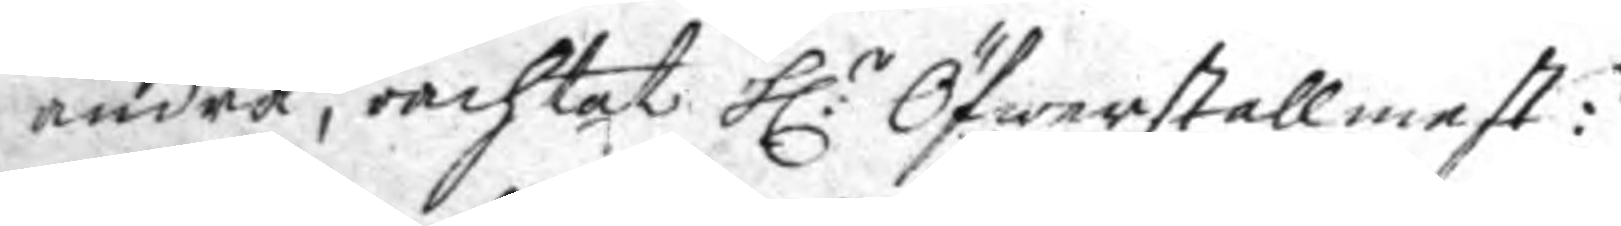andra, oachtat h:r Öfwerstallmest:n
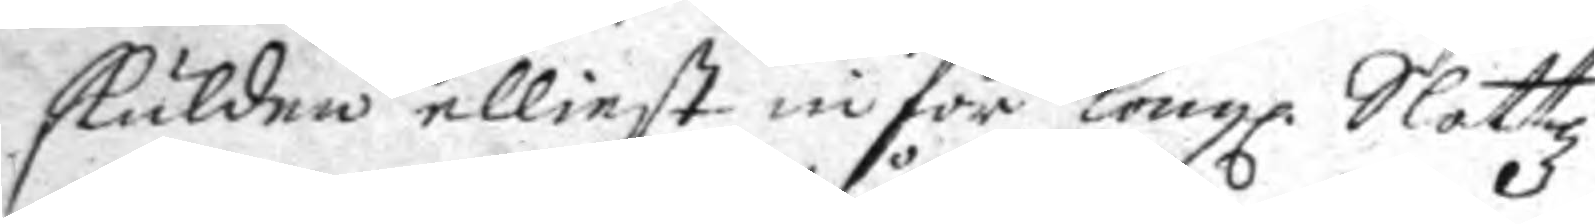skulden elliest inför Kongl. Slottz
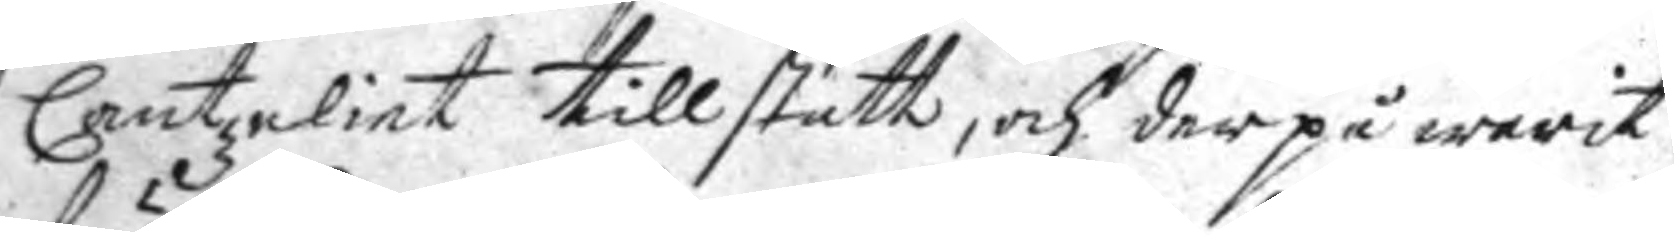Cantzeliet tillstått, och derpå warit
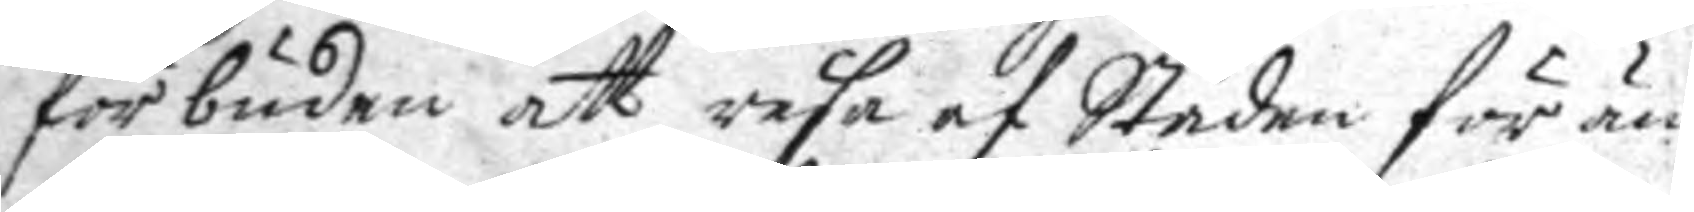förbuden att resa af Stade för än
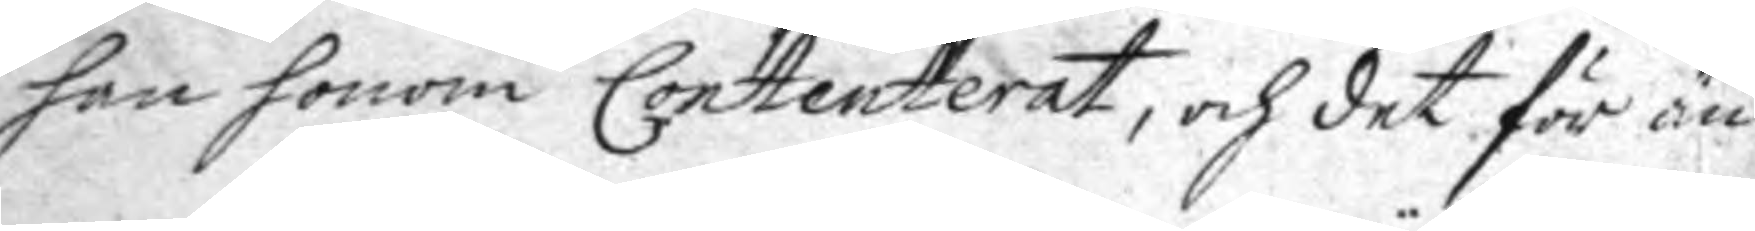han honom Contenterat, och det för än
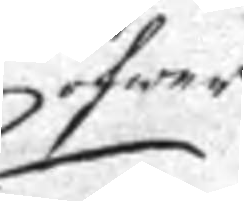öfwer
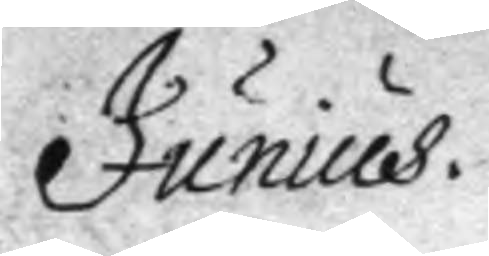Junius.
